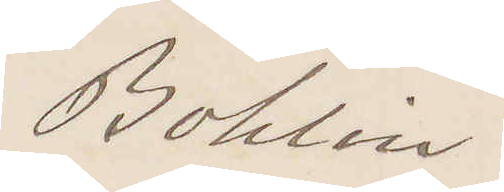Bohlin
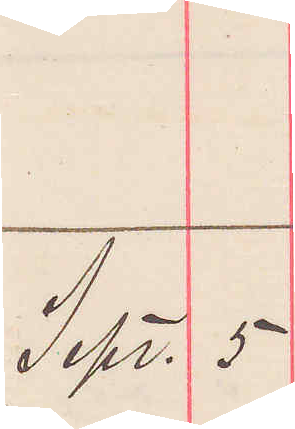Sept. 5
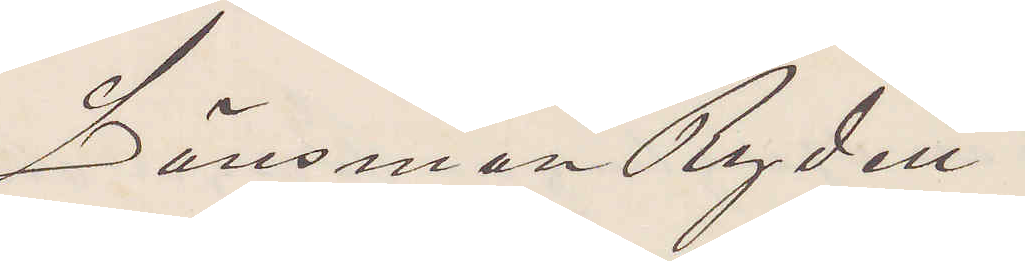Länsman Ryden
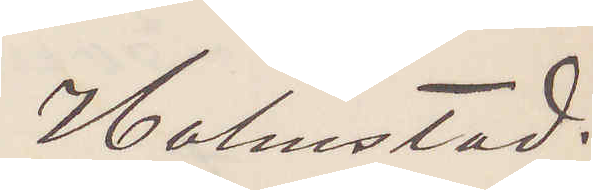Halmstad.
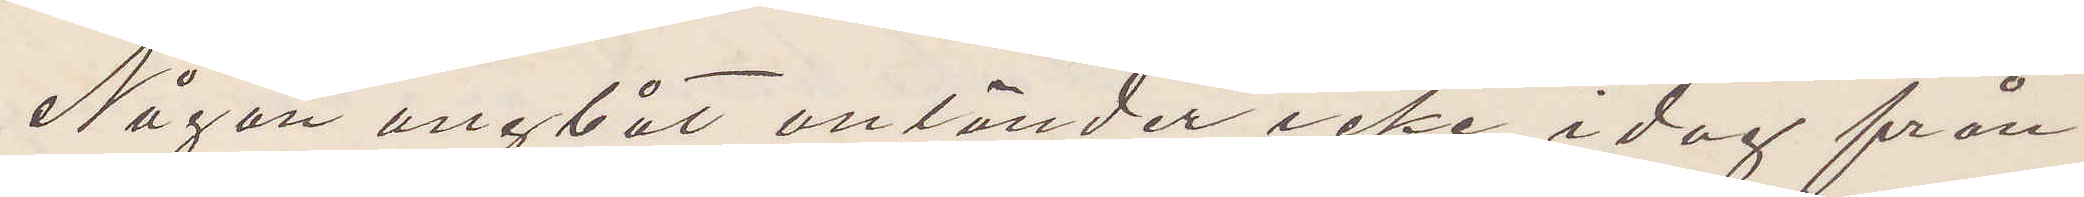Någon ångbåt anländer icke i dag från
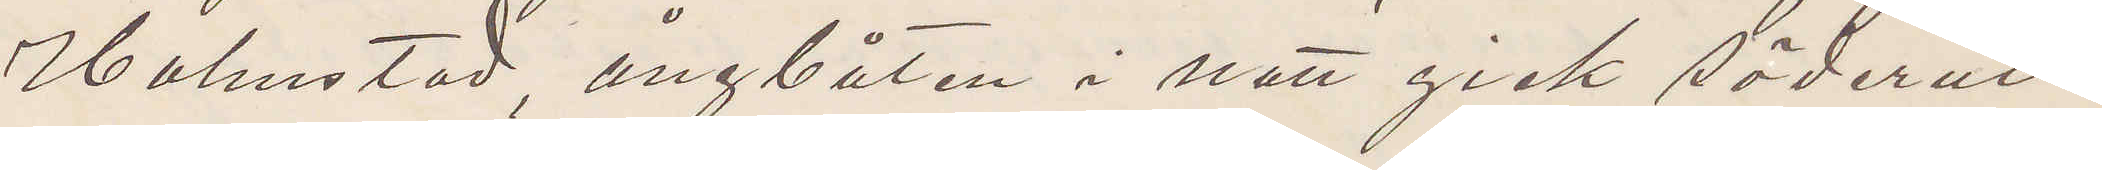Halmstad, ångbåten i natt gick söderut.
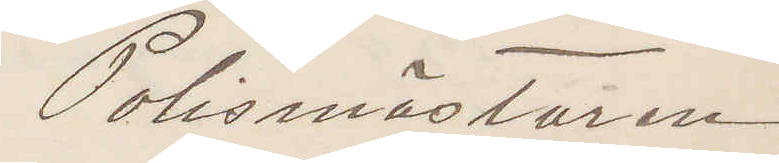Polismästaren
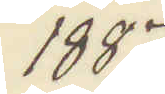1887
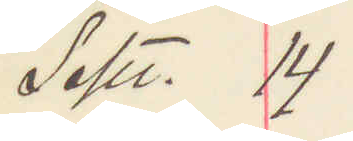Sept. 14
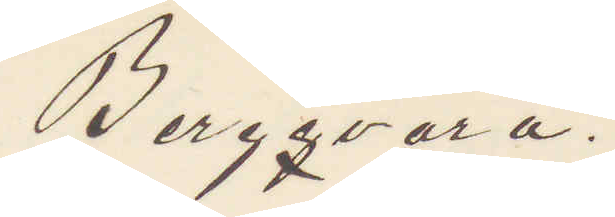Bergqvara.
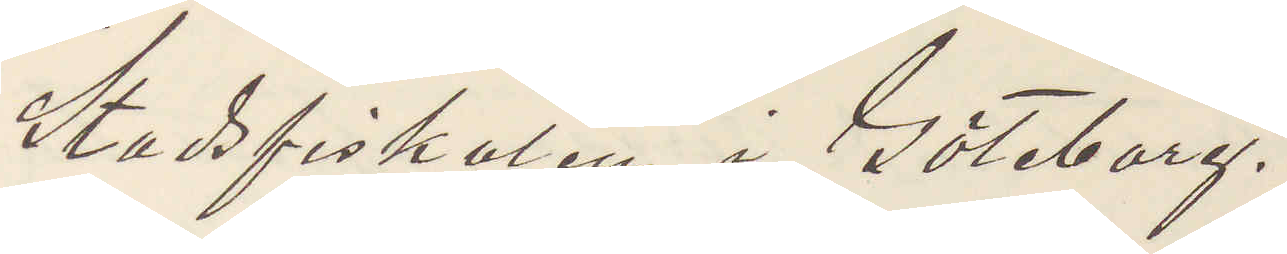Stadsfiskalen i Göteborg.
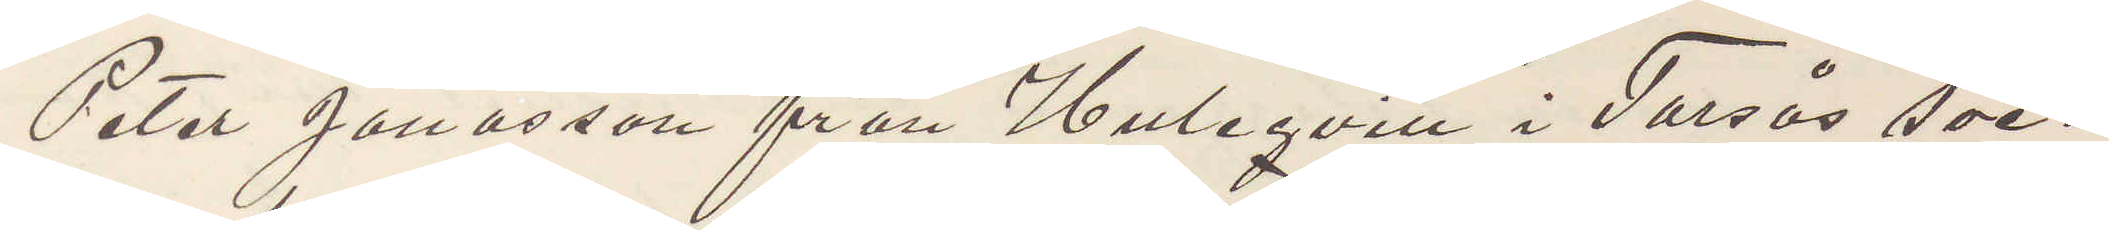Peter Jonasson från Huleqvill i Torsås soc¬
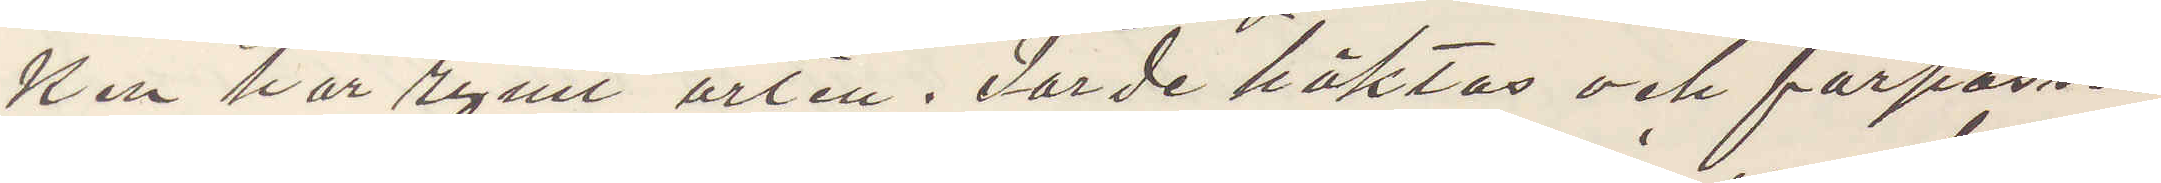ken har rymt orten. Torde häktas och förpassas
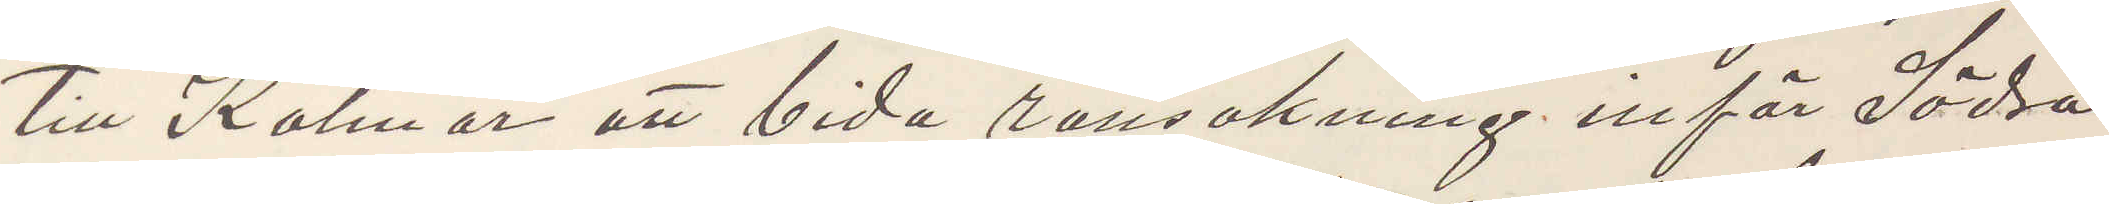till Kalmar att bida ransakning inför Södra
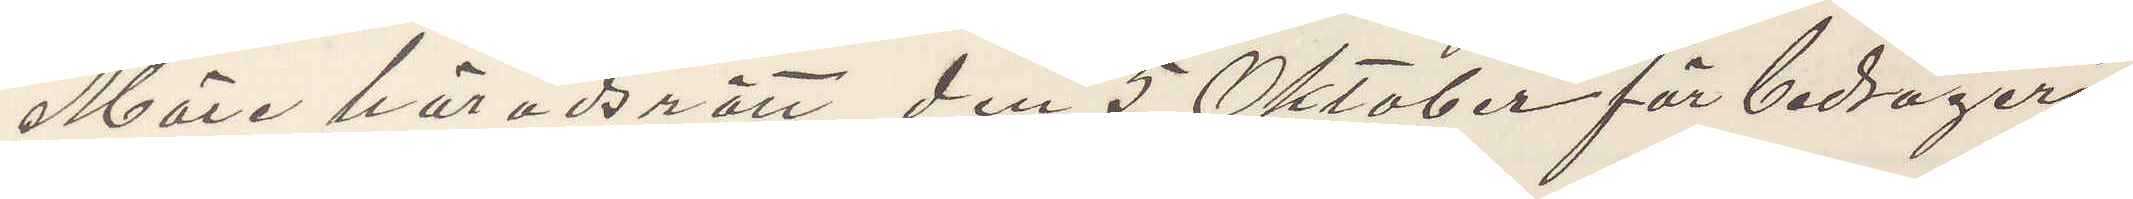Möre häradsrätt den 5 Oktober för bedrägeri
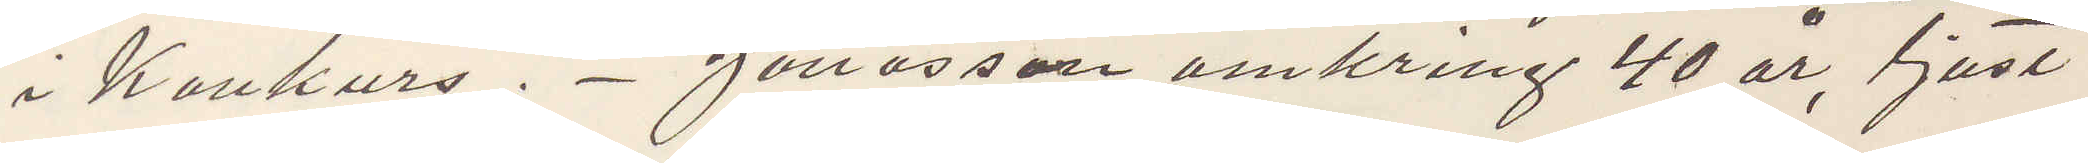i Konkurs. Jonasson omkring 40 år, ljust
